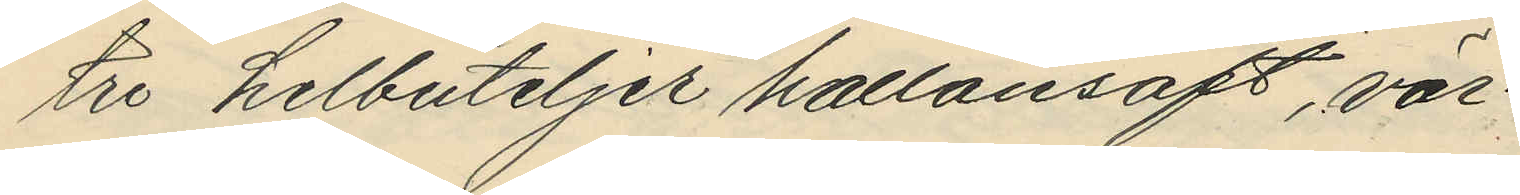tre helbuteljer hallonsaft, vär¬
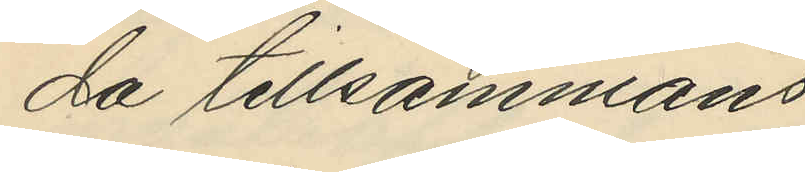da tillsammans
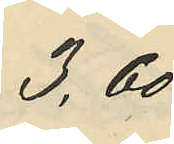3,60
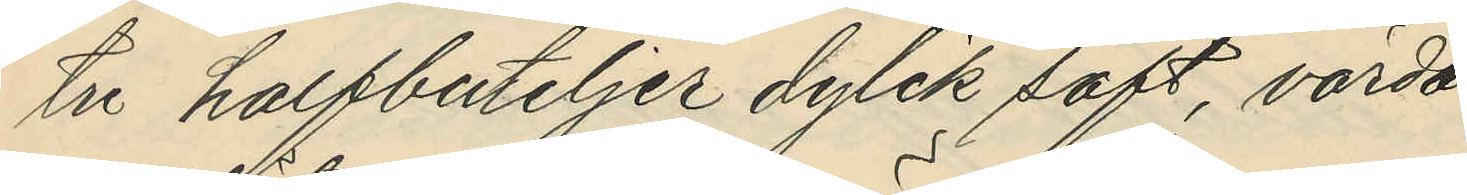tu halfbuteljer dylik saft, värda
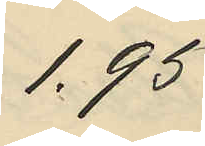1.95
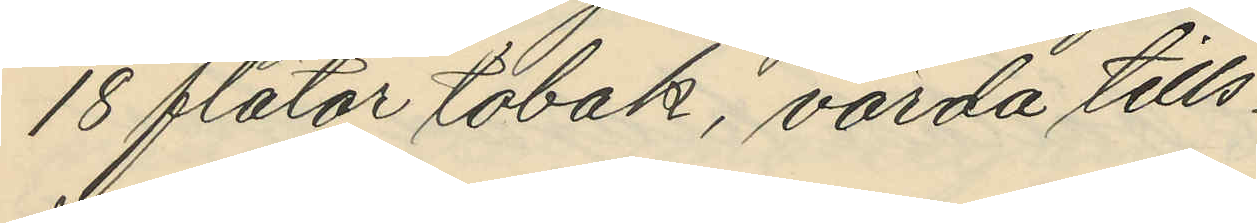18 flätor tobak, värda tills.
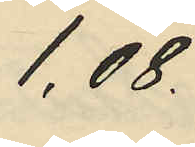1,08.
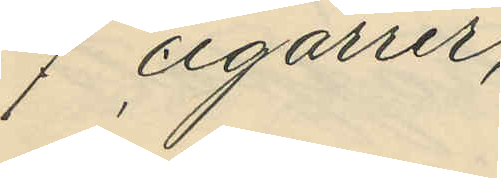7 cigarrer,
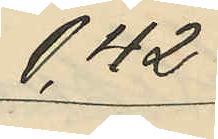0,42
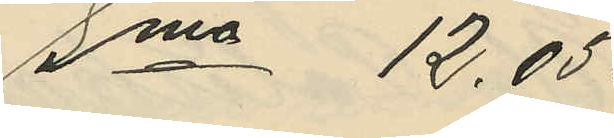Sma 12,05.
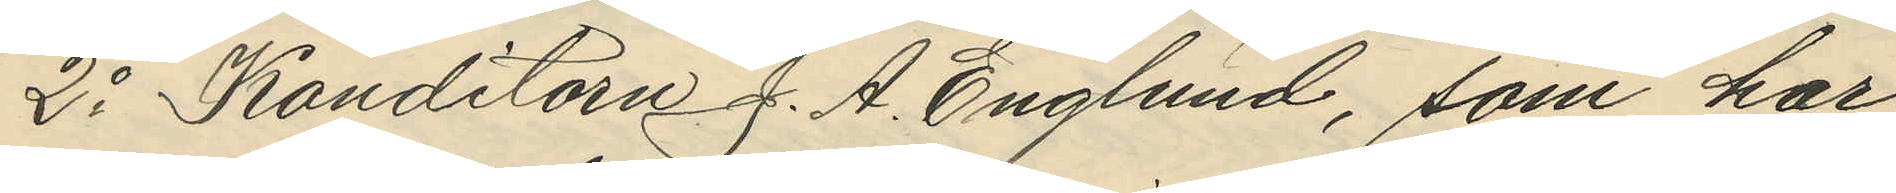2o Konditorn J. A. Englund, som har
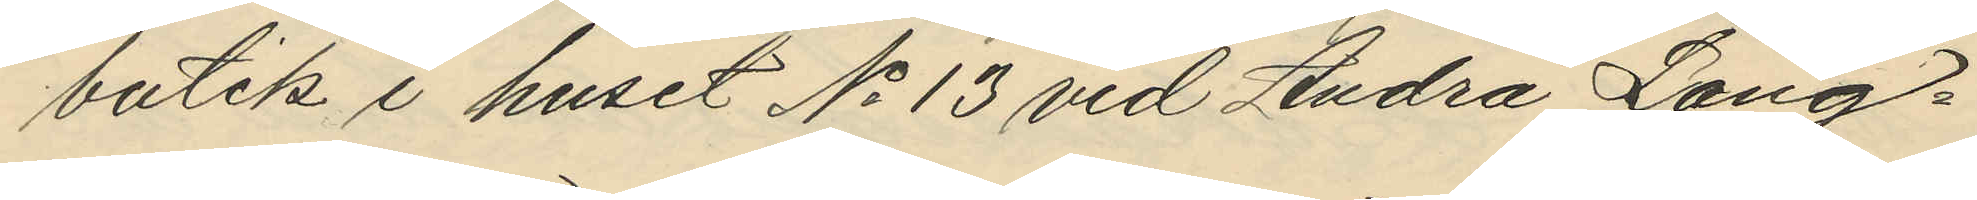butik i huset No 13 vid Andra Lång¬
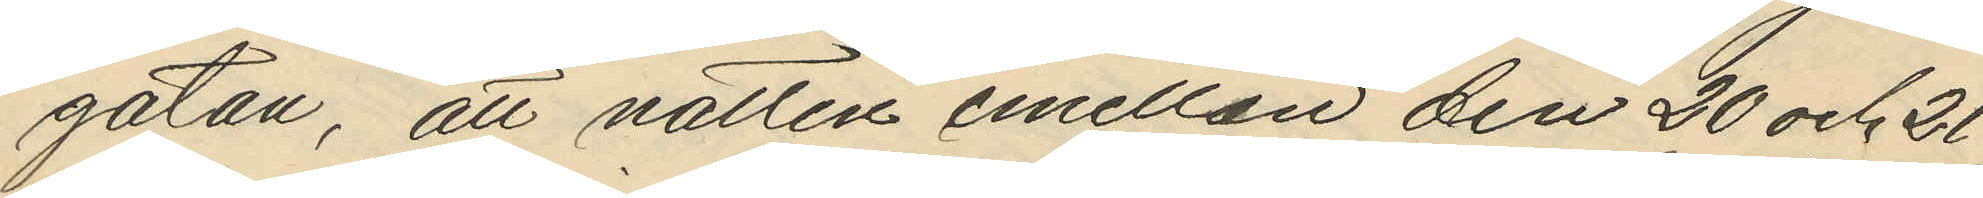gatan, att natten emellan den 20 och 21
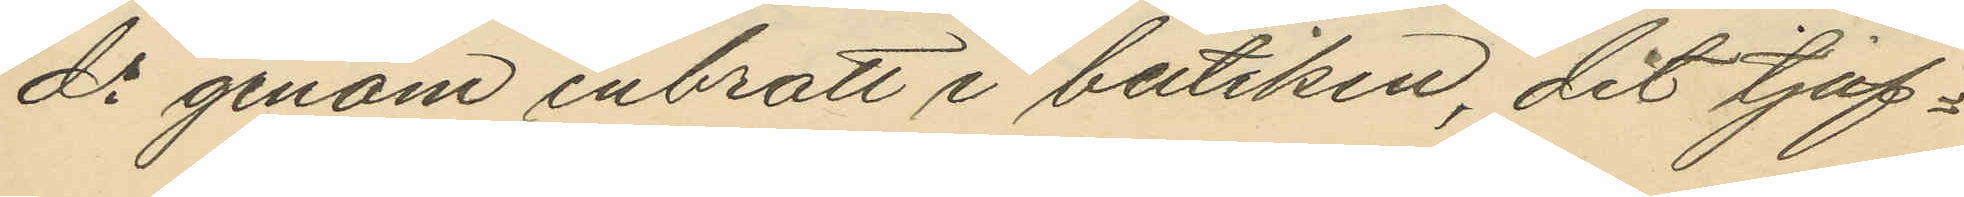ds genom inbrott i butiken, dit tjuf¬
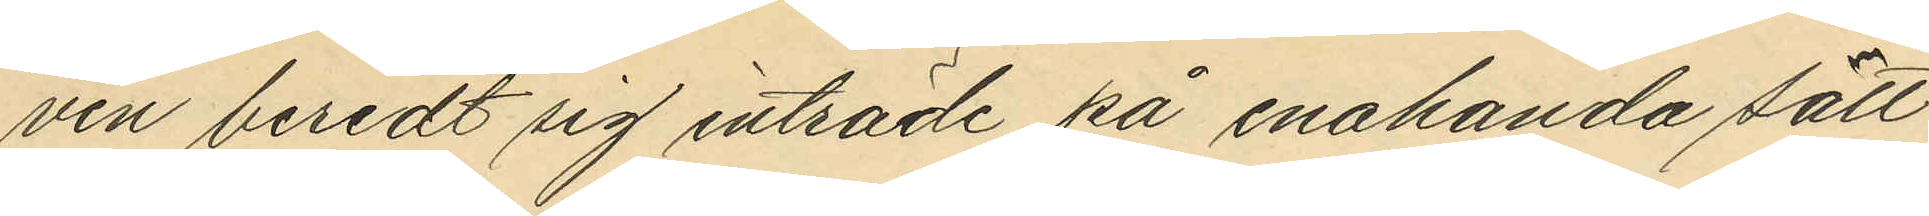ven beredt sig inträde på enahanda sätt
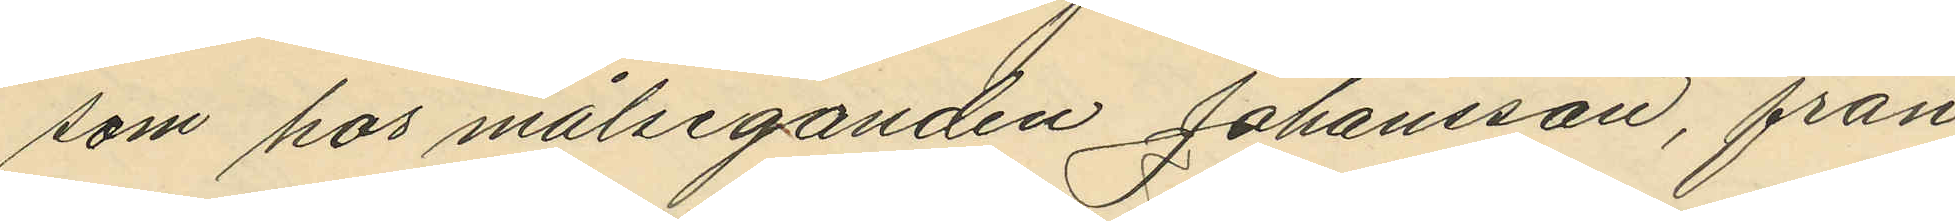som hos målseganden Johansson, från
